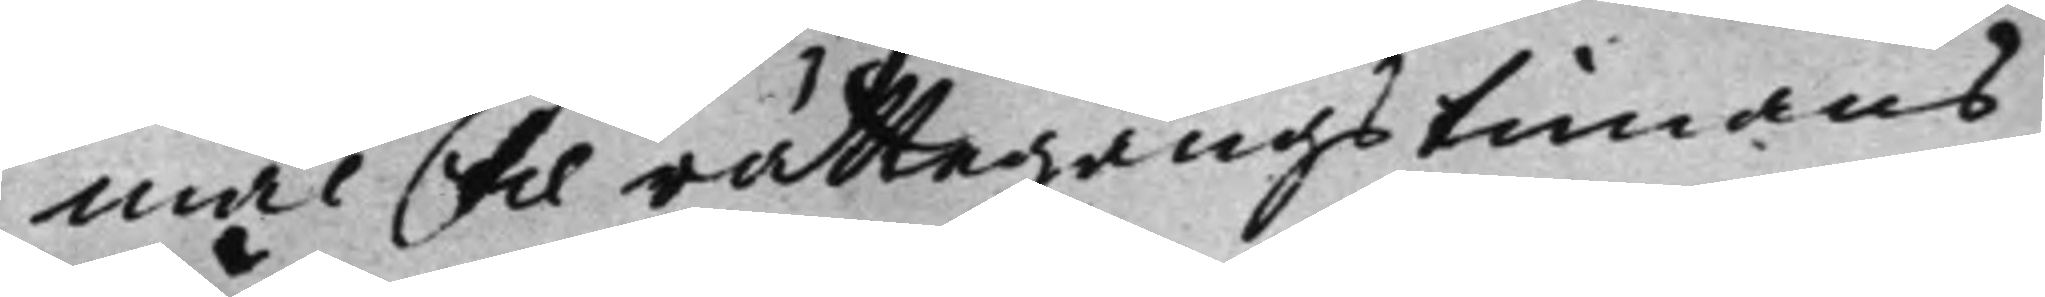mål til rättegångstimans
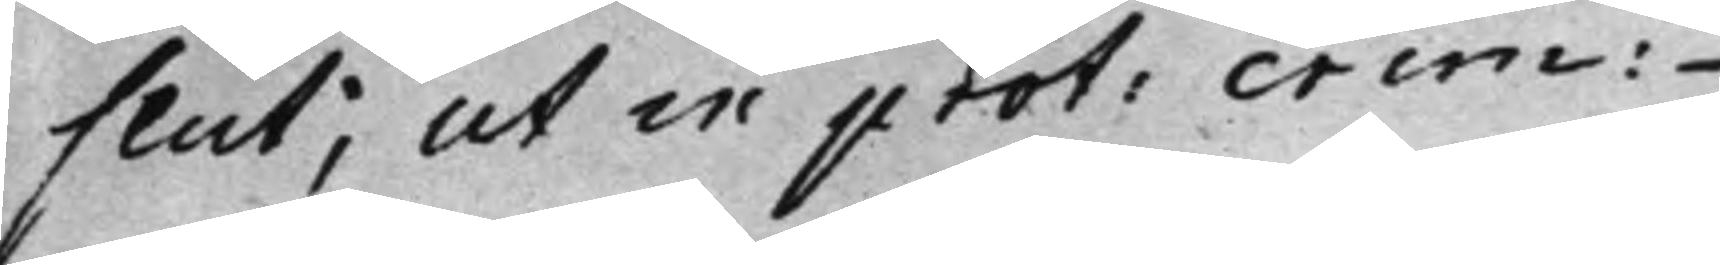slut, ut in prot: crim:
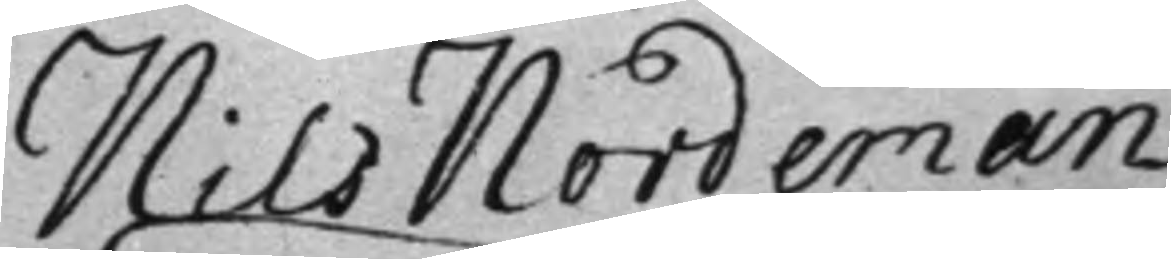Nils Nordeman
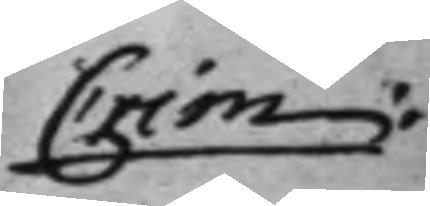Crim:
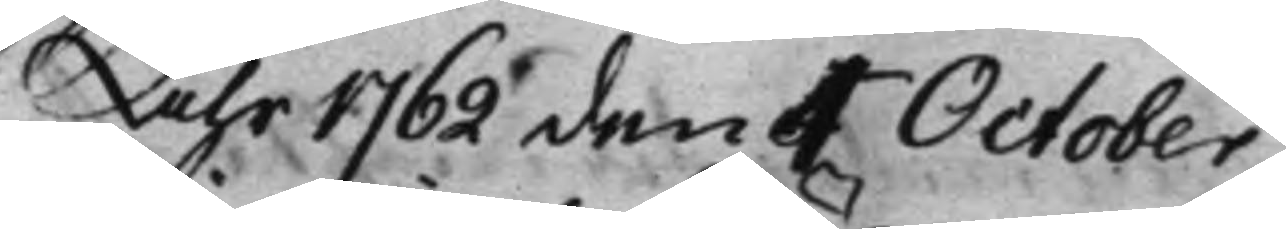Åhr 1762 den 4 October.
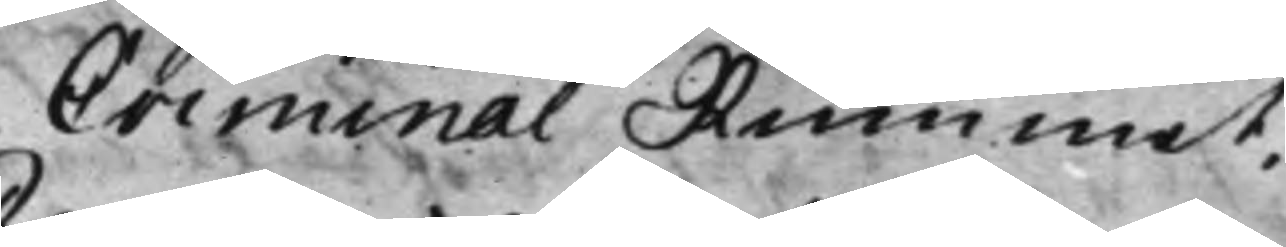Criminal Rummet.
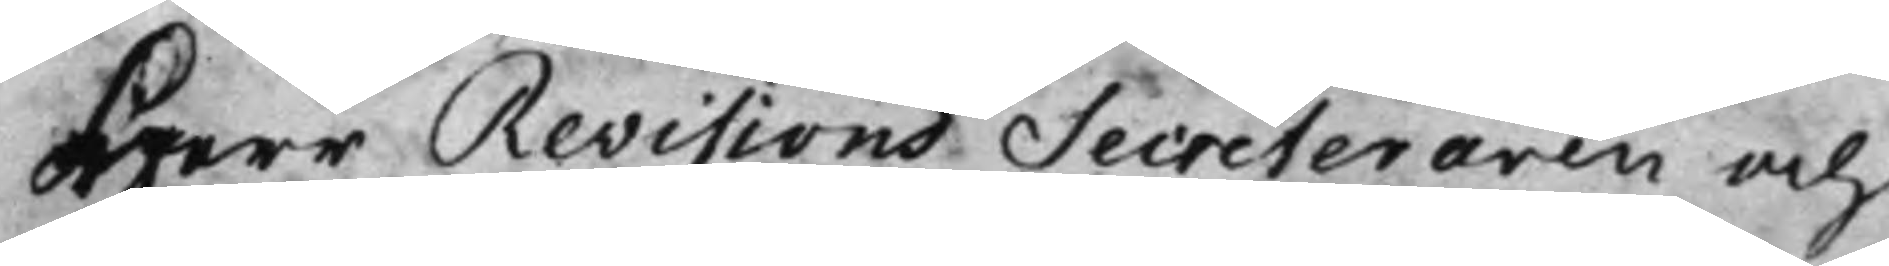Herr Revisions Secreteraren och
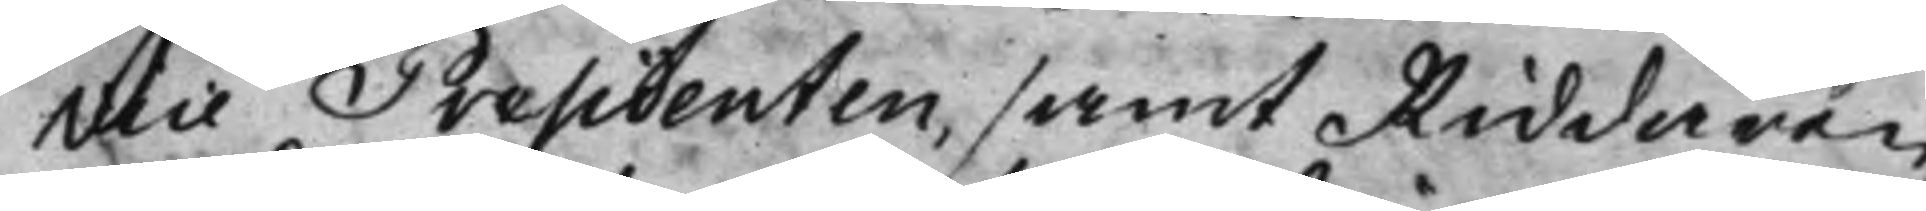vice Presidenten, samt Riddaren
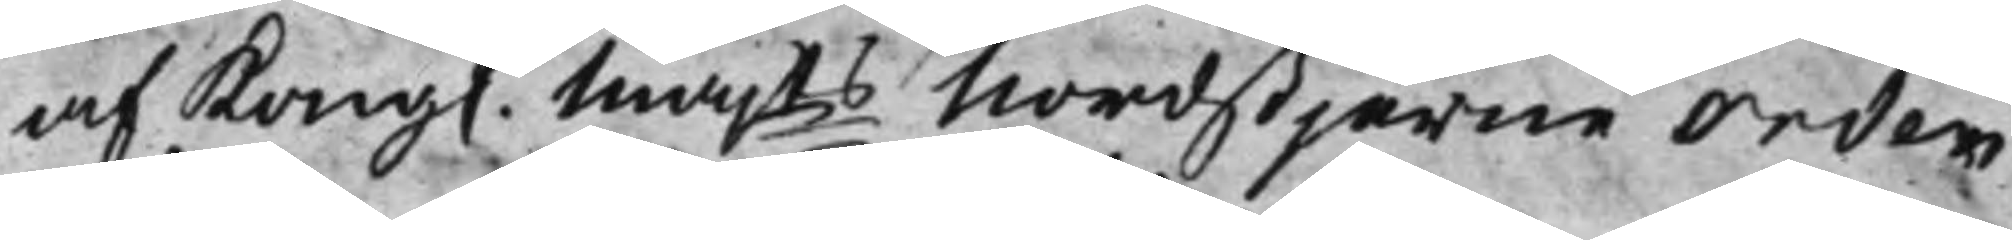af Kong. Majts Nordstjärne Orden
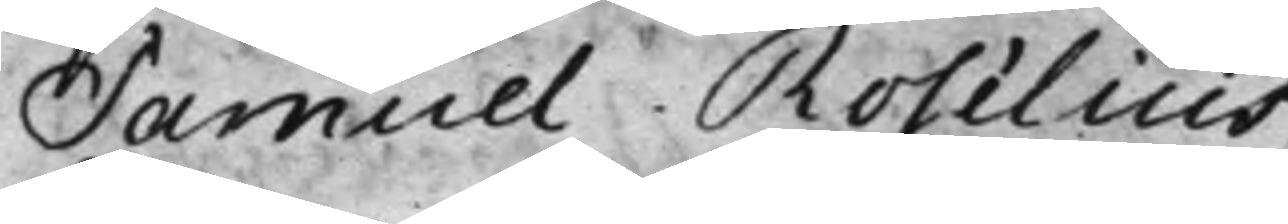Samuel Roselius.
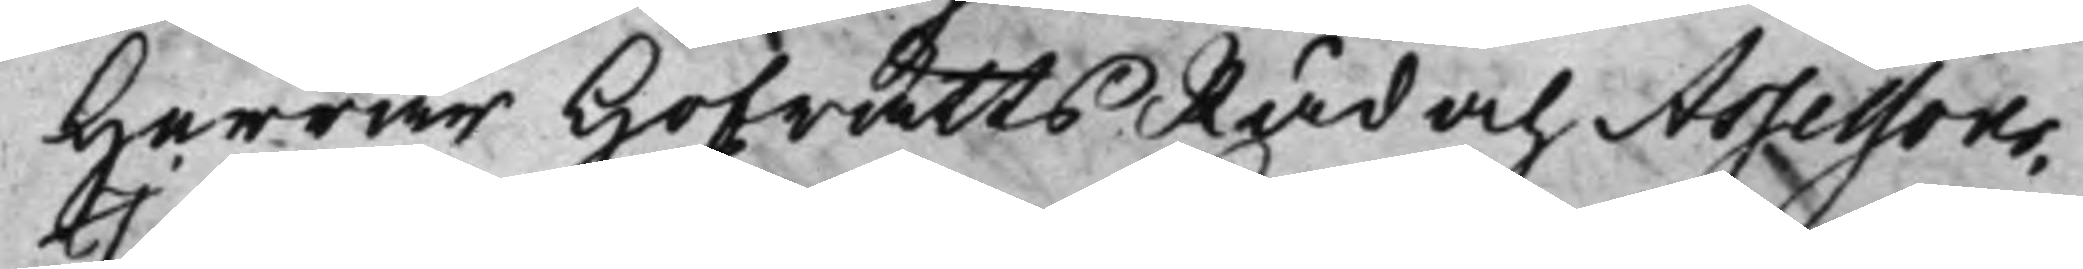Herrar HofrättsRåd och Assessorer,
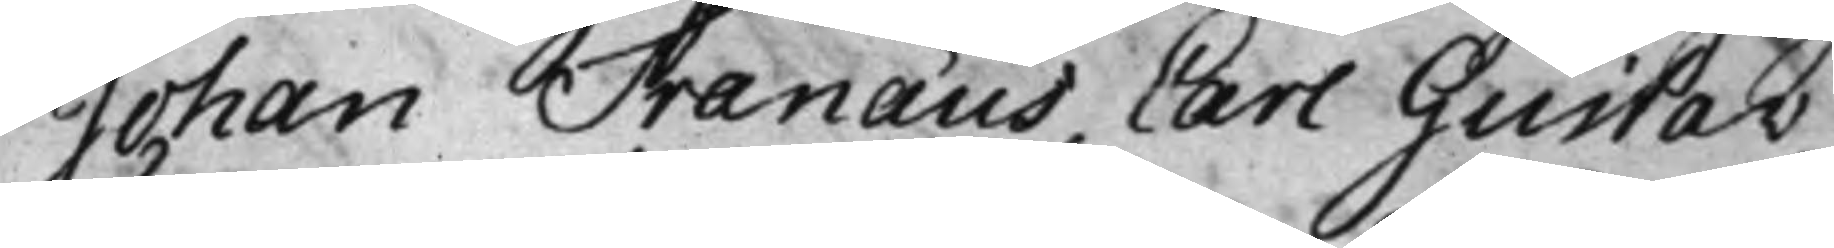Johan Tranæus. Carl Gustav
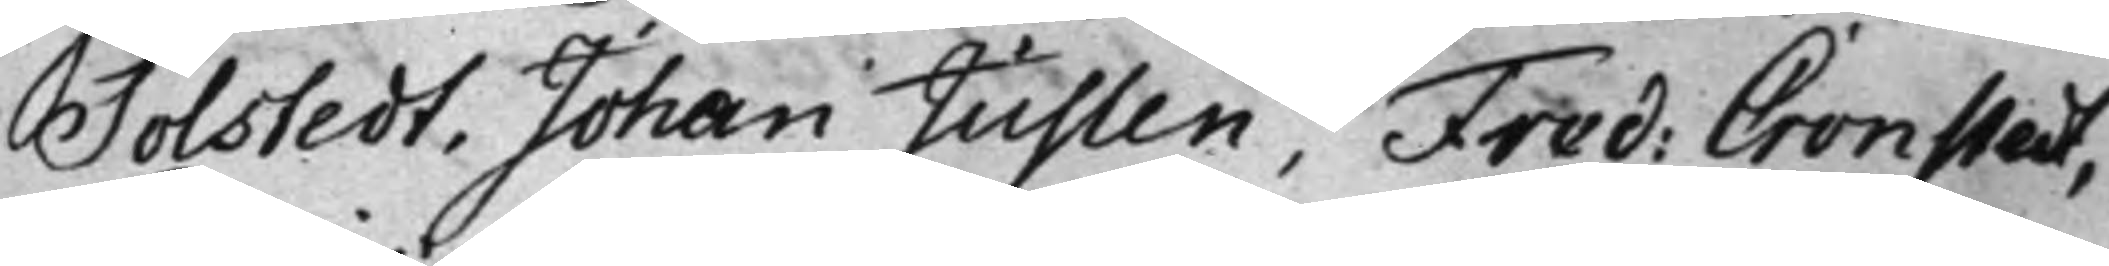Tolstedt, Johan Juslen, Fred: Cronstedt,
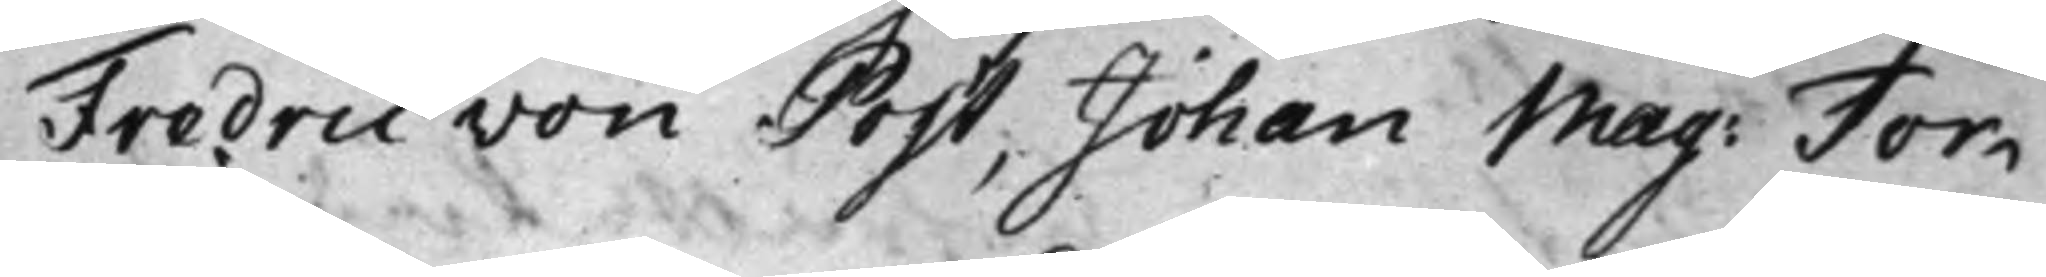Fredric von Post, Johan Mag: Tor¬
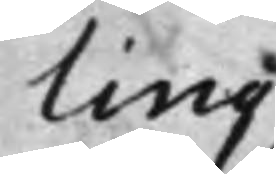ling
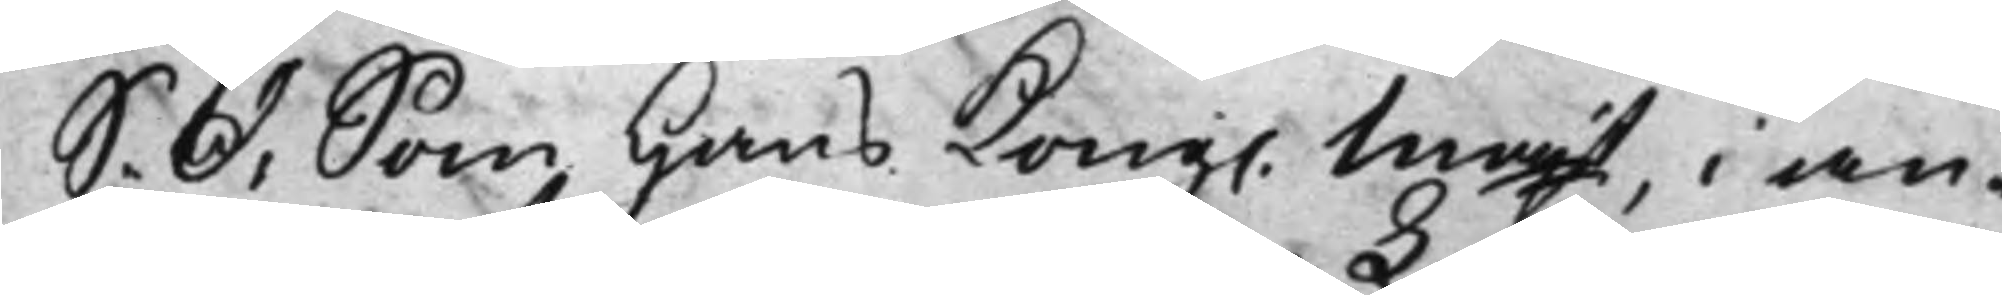S. D: Som Hans Kong. Majt, i an¬
